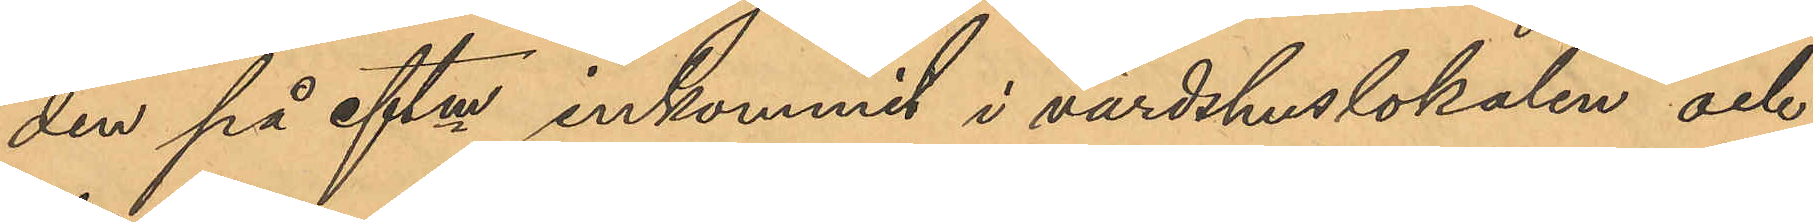den på eftm inkommit i värdshuslokalen och
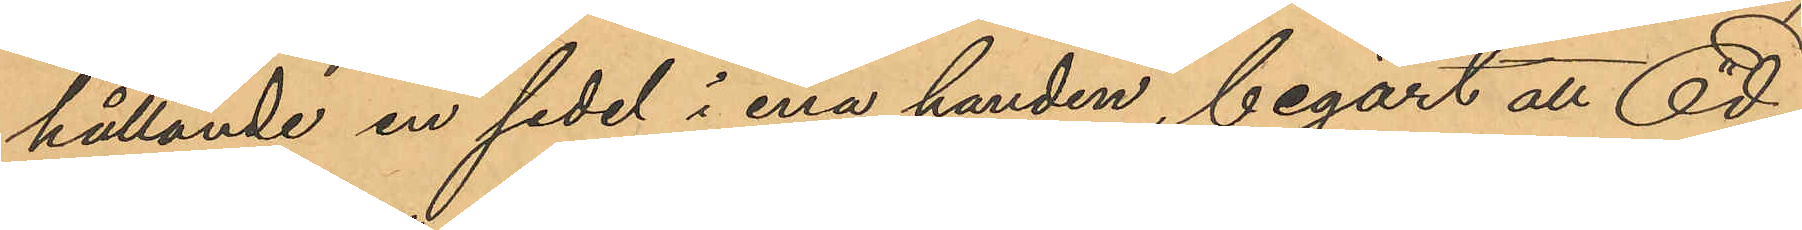hållande en sedel i ena handen, begärt att Ed¬
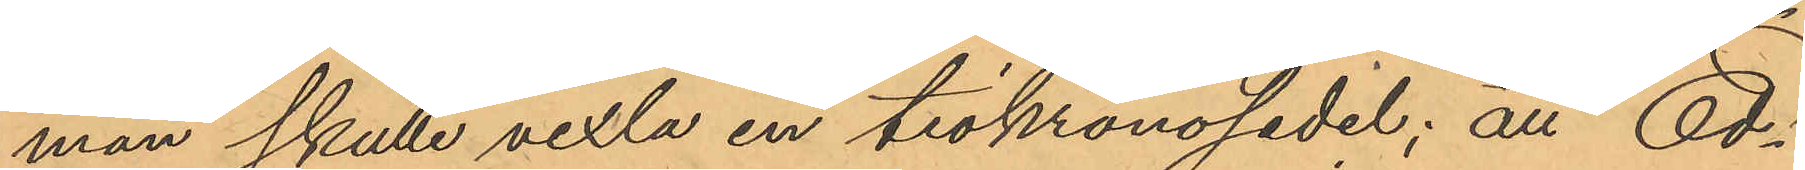man skulle vexla en tiokronosedel; att Ed¬
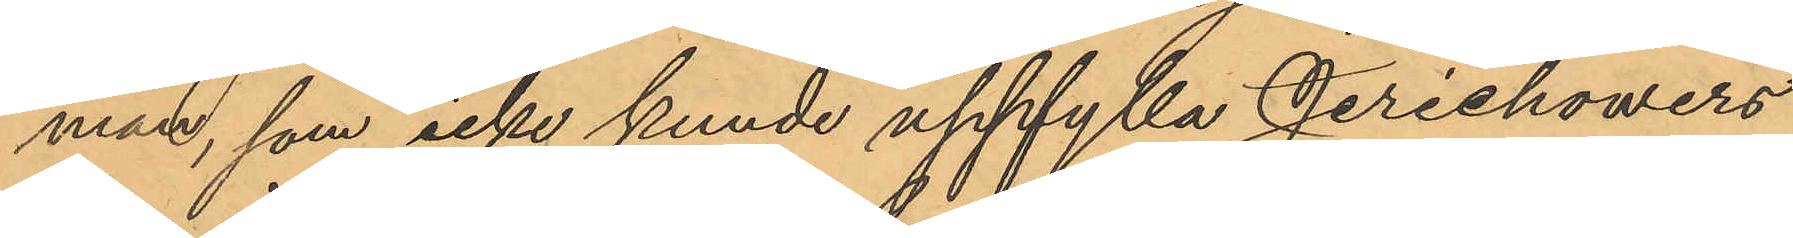man, som icke kunde uppfylla Jerichowers
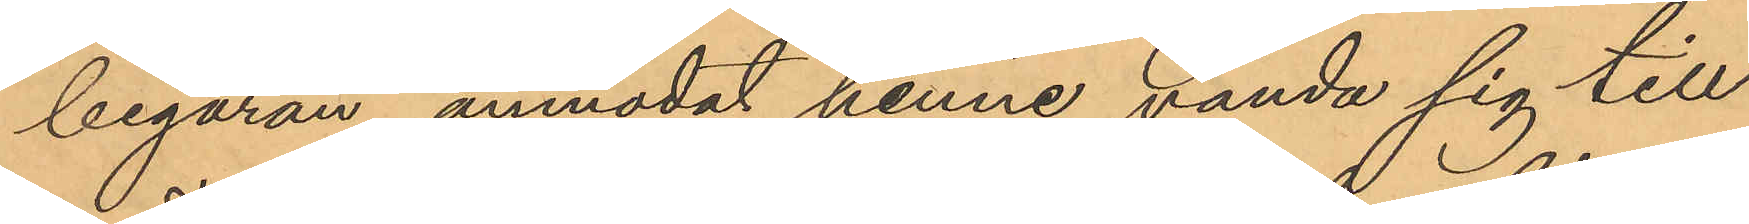begäran, anmodat henne vända sig till
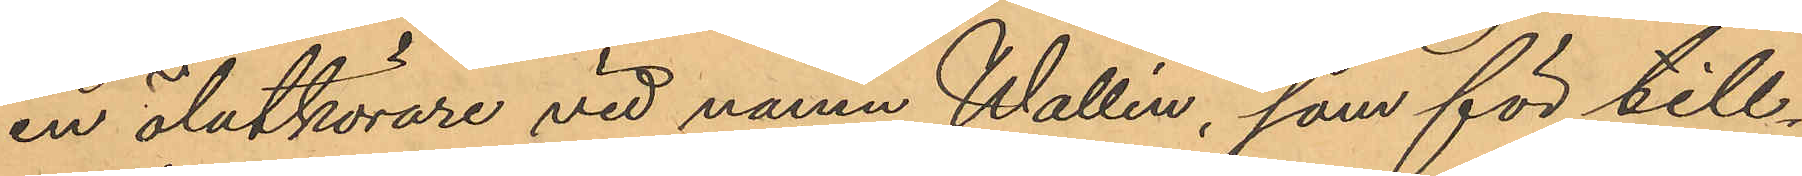en ölutkörare vid namn Wallin, som för till¬
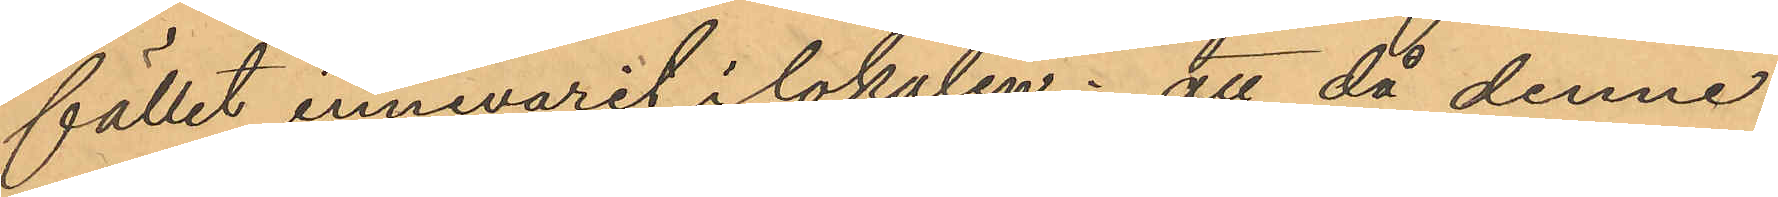fället innevarit i lokalen; att då denne
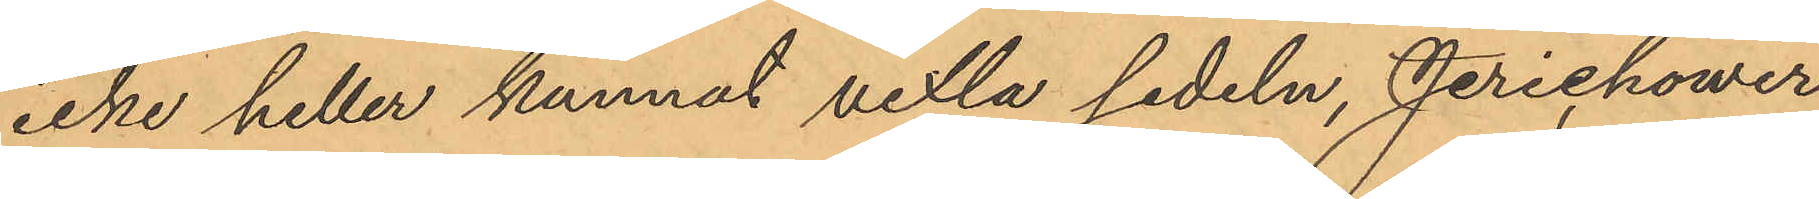icke heller kunnat vexla sedeln, Jerichower,
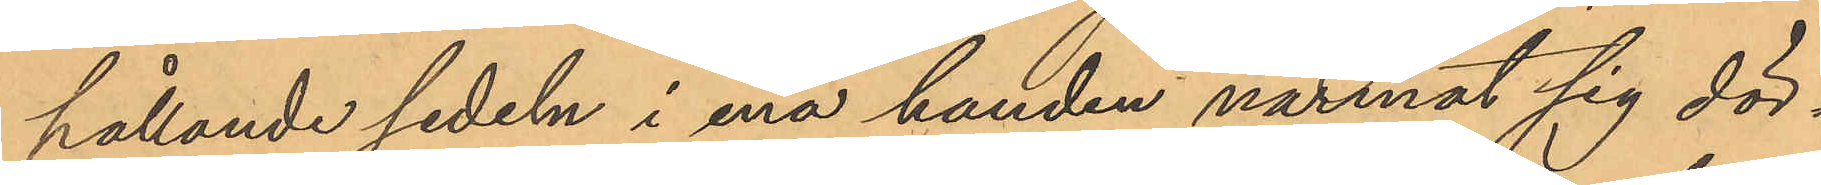hållande sedeln i ena handen närmat sig dör¬
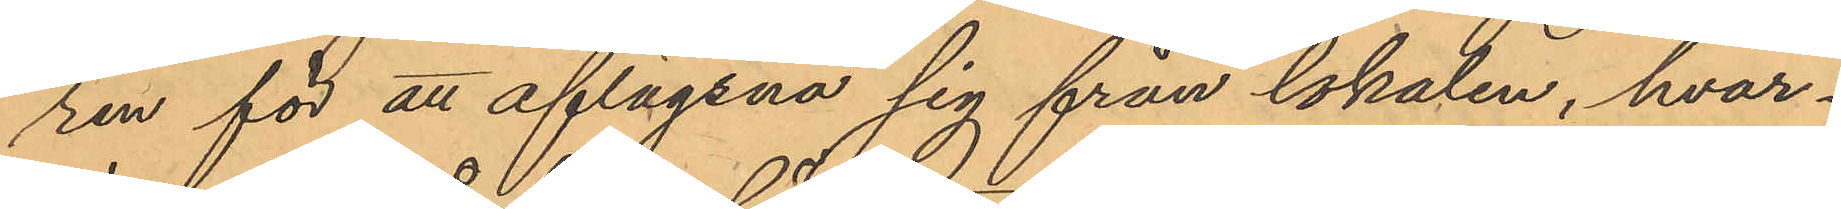ren för att aflägsna sig från lokalen, hvar¬
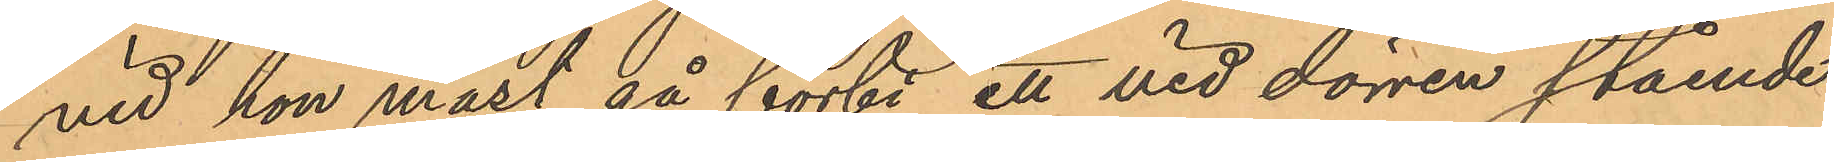vid hon måst gå förbi ett vid dörren stående
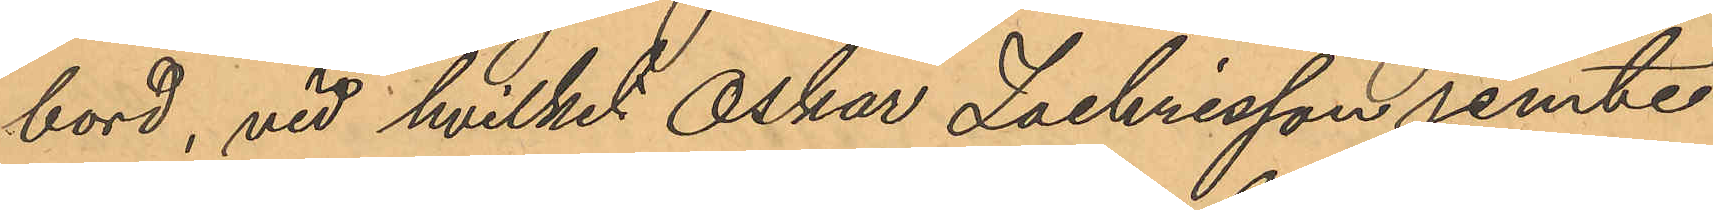bord, vid hvilket Oskar Zachrisson jemte
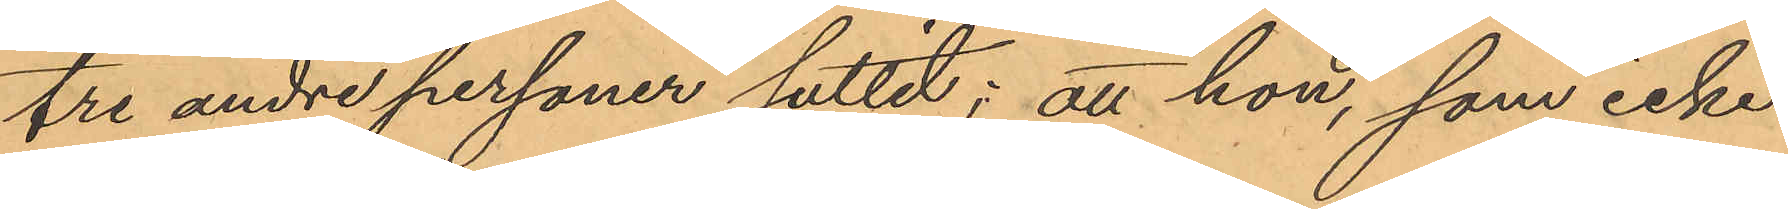tre andre personer suttit; att hon, som icke
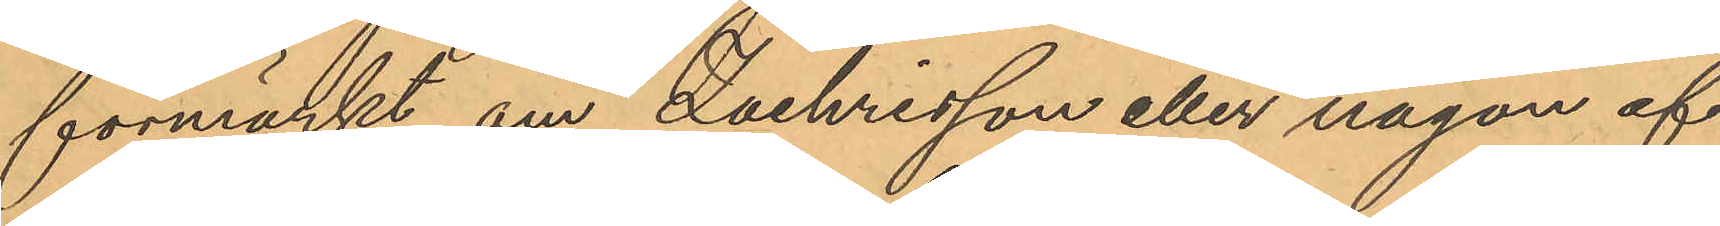förmärkt om Zachrisson eller någon af
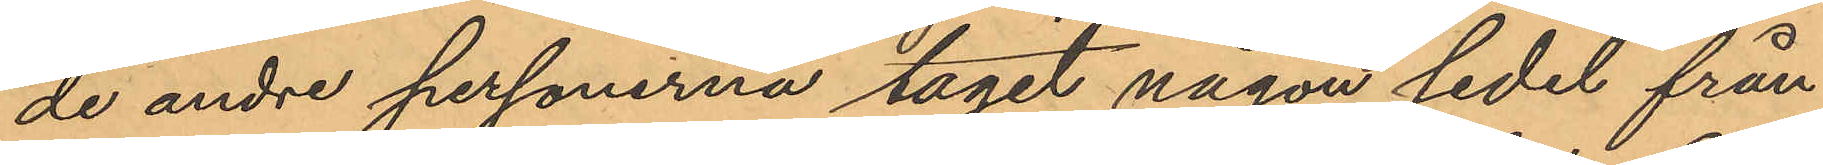de andre personerna tagit någon sedel från
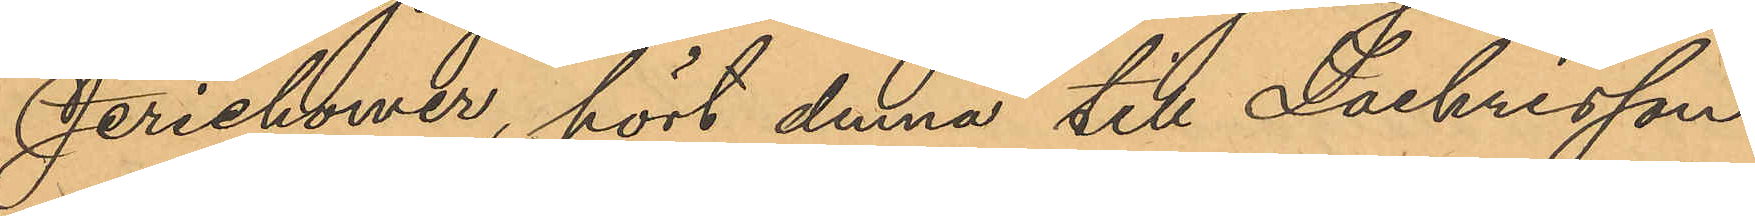Jerichower, hört denna till Zachrisson
